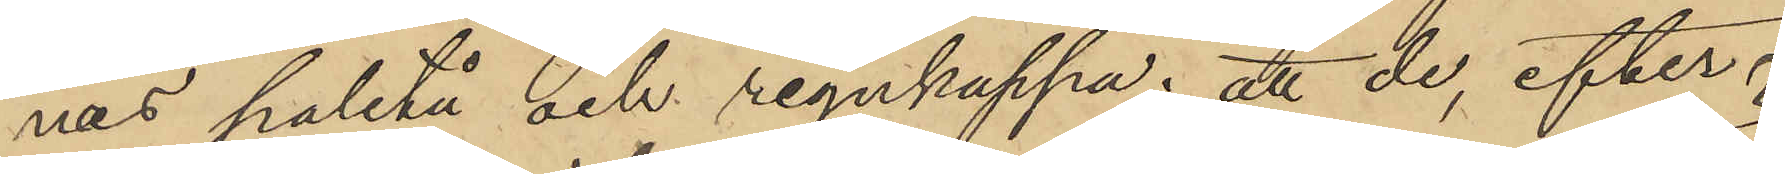nes paletå och regnkappa; att de, efter
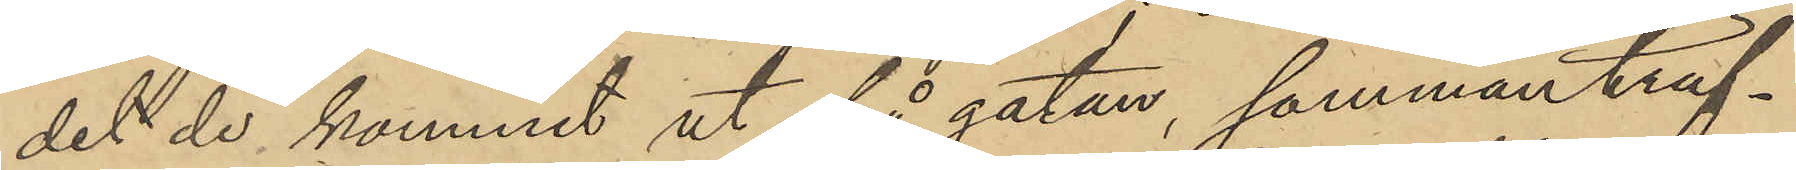det de kommit ut på gatan, sammanträf¬
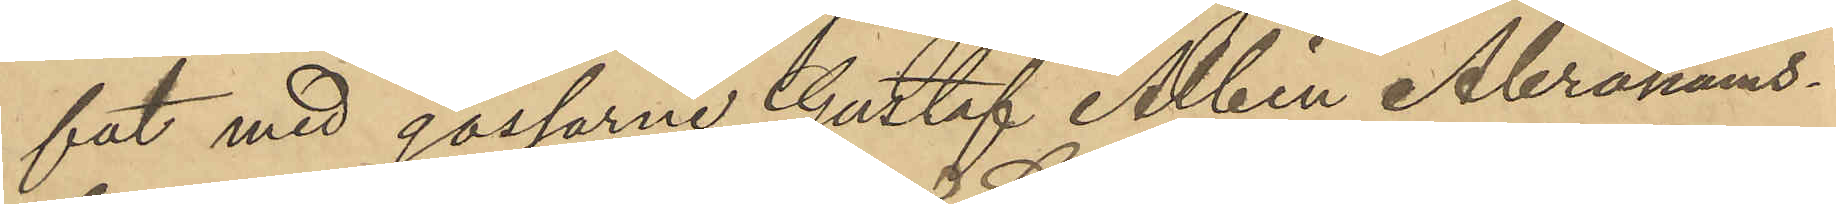fat med gossarne Gustaf Albin Abrahams¬
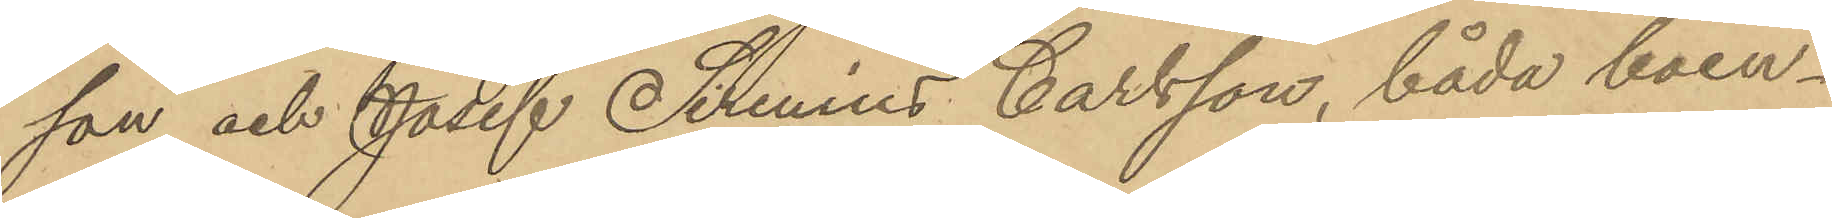son och Josef Sirenius Carlsson, båda boen¬
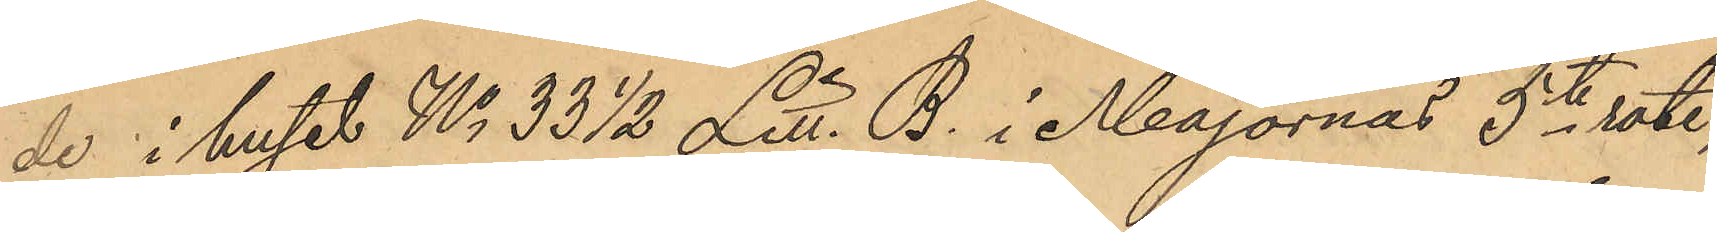de i huset No 33 1/2 Litt. B. i Majornas 5te rote,
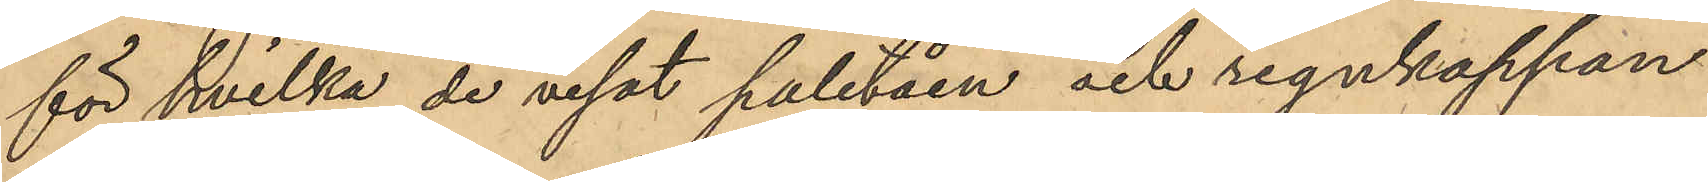för hvilka de visat paletåen och regnkappan
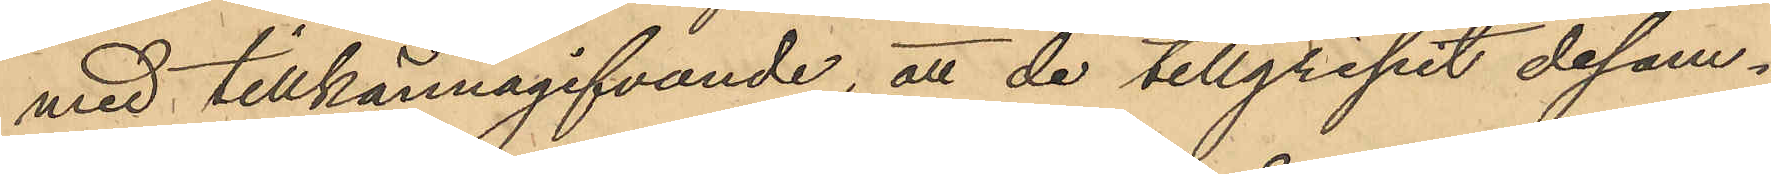med tillkännagifvande; att de tillgripit desam¬
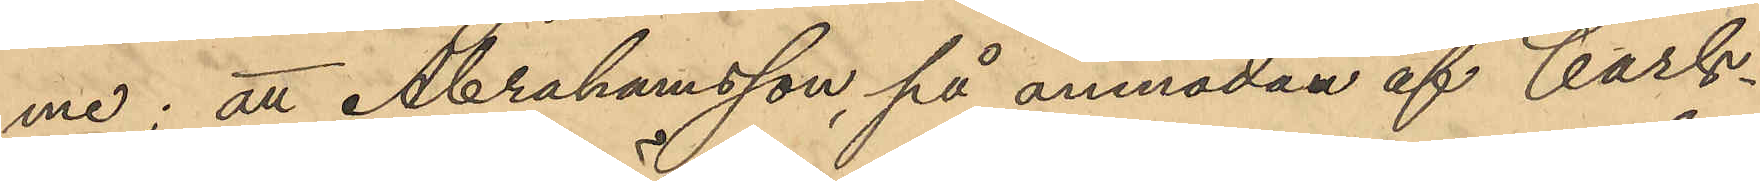me; att Abrahamsson, på anmodan af Carls¬
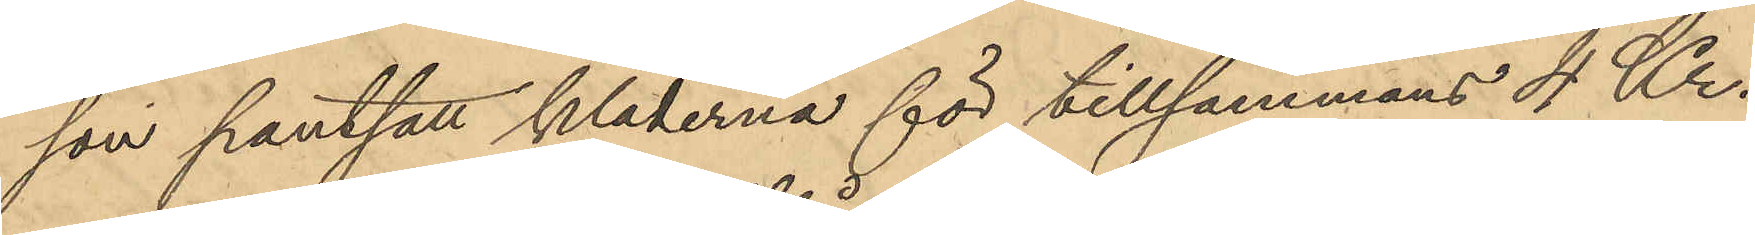son pantsatt kläderna för tillsammans 4 Kr.
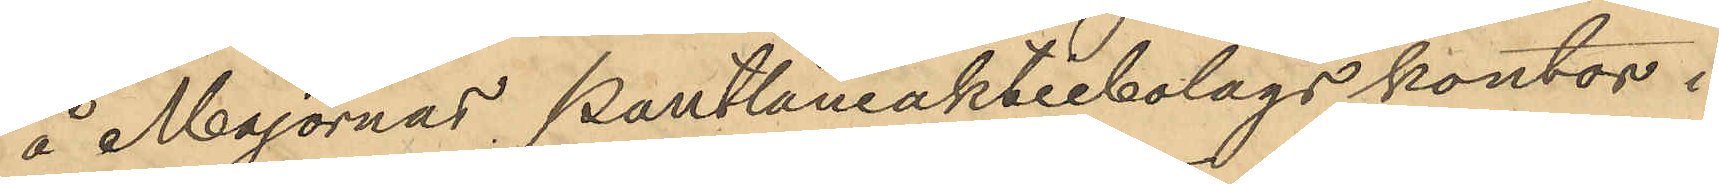å Majornas Pantlåneaktiebolags kontor i
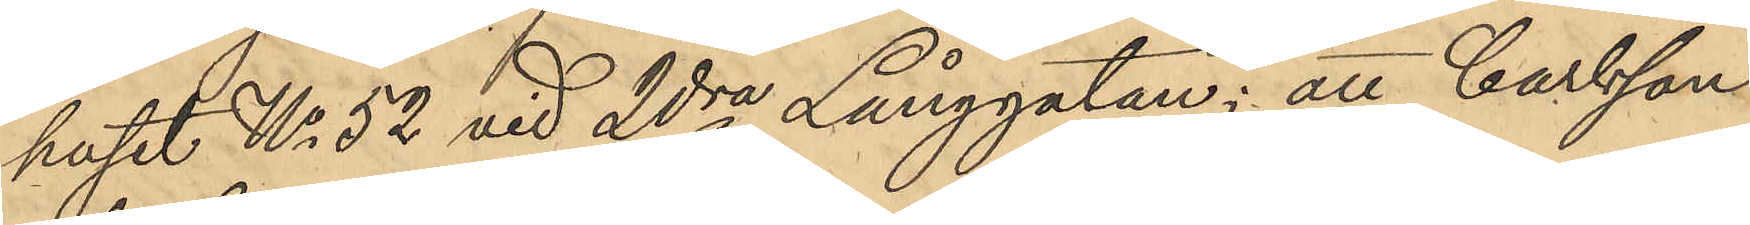huset No 52 vid 2dra Långgatan; att Carlsson
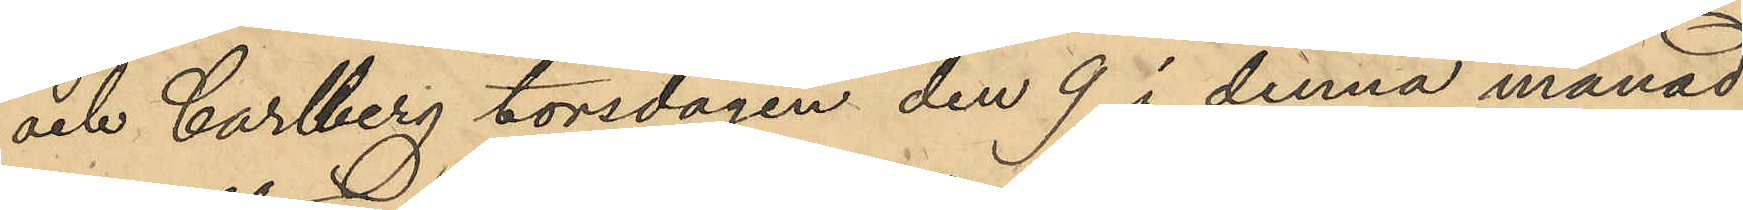och Carlberg torsdagen den 9 i denna månad
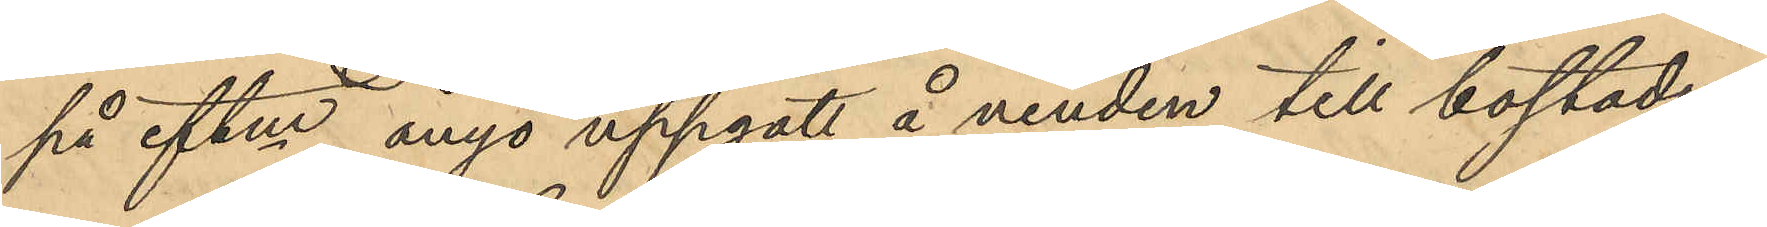på eftm. ånyo uppgått å vinden till bostaden;
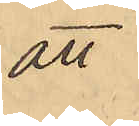att
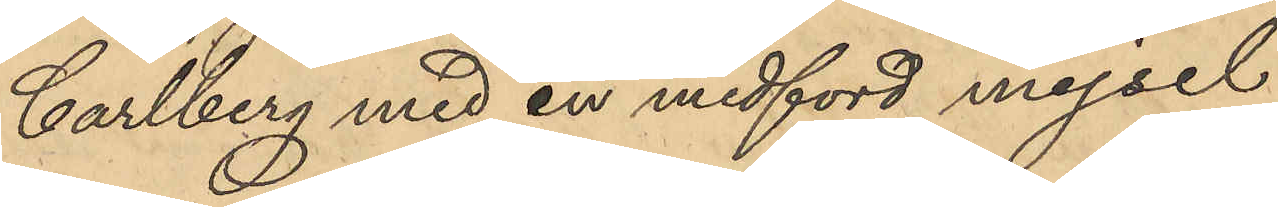Carlberg med en medförd mejsel
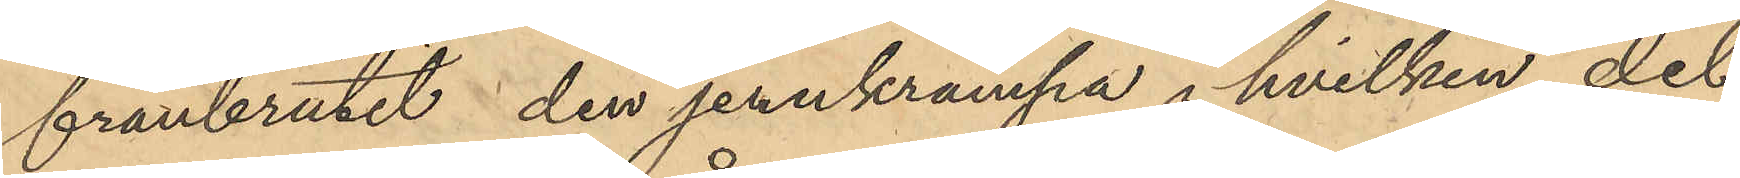frånbrutit den jernkrampa i hvilken det
